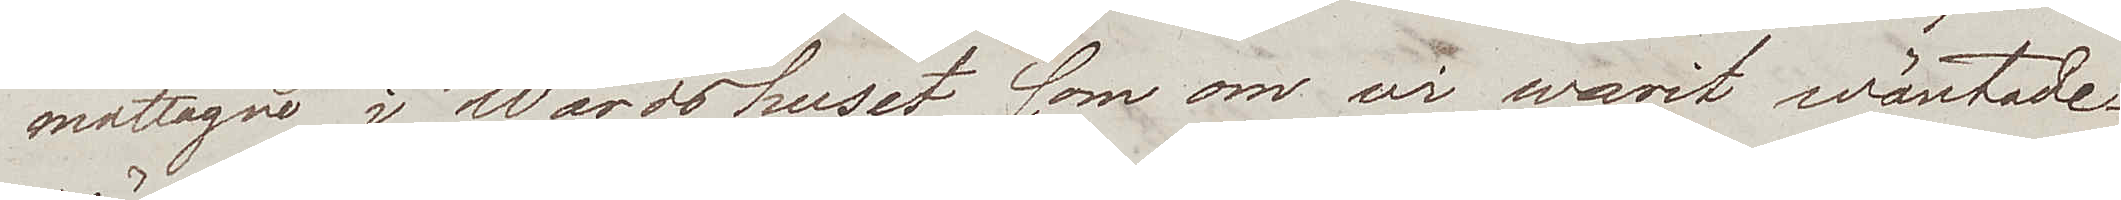mottagne i Wärdshuset som om wi warit wäntade.
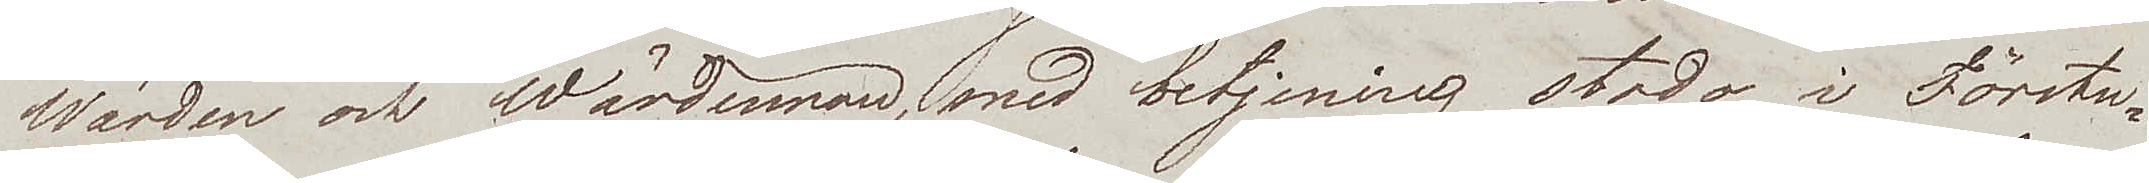Wärden och Wärdinnan, med betjening stodo i Förstu¬
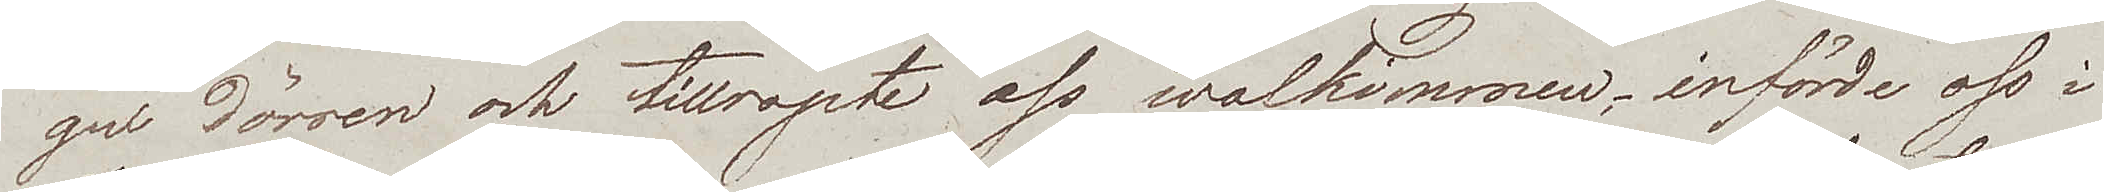gu dörren och tillropte oss wälkommen, införde oss i
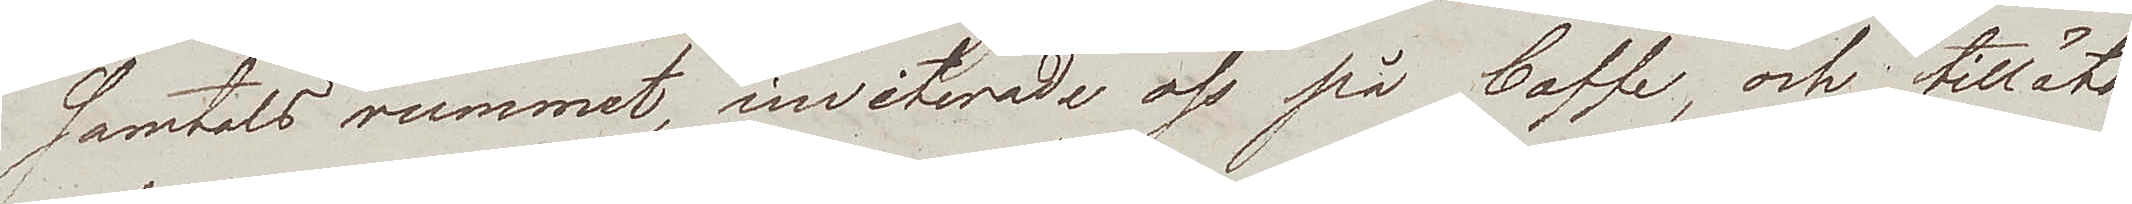samtals rummet, inviterade oss på Caffe, och tilläto
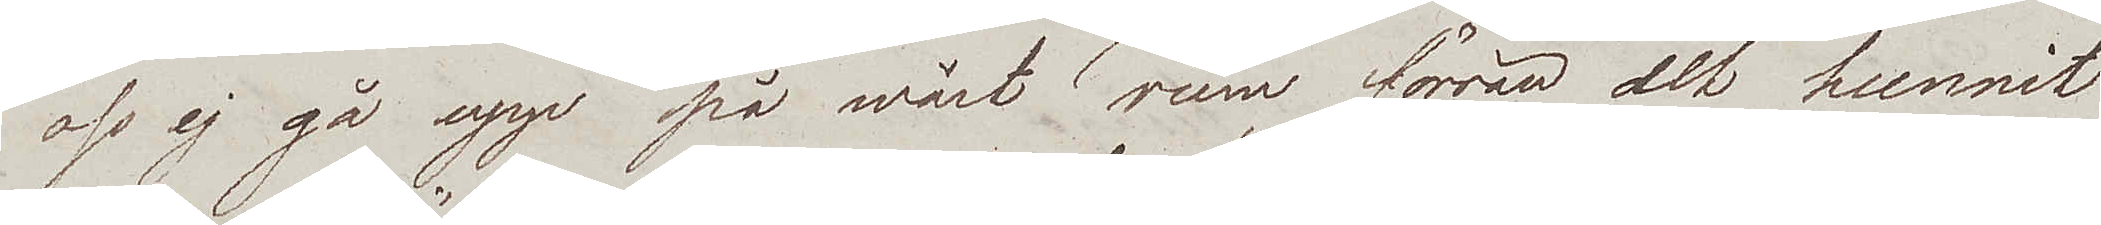oss ej gå upp på wårt rum förrän det hunnit
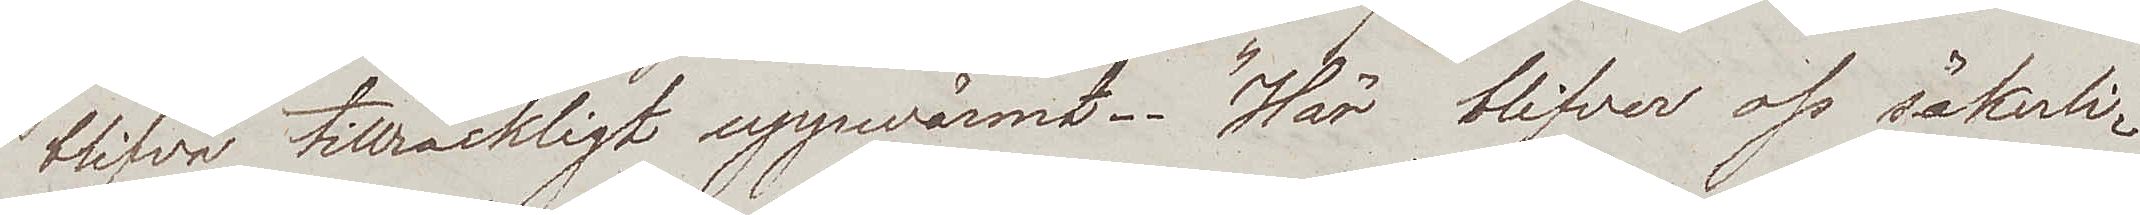blifva tillräckligt uppwärmt. "Här blifver oss säkerli¬
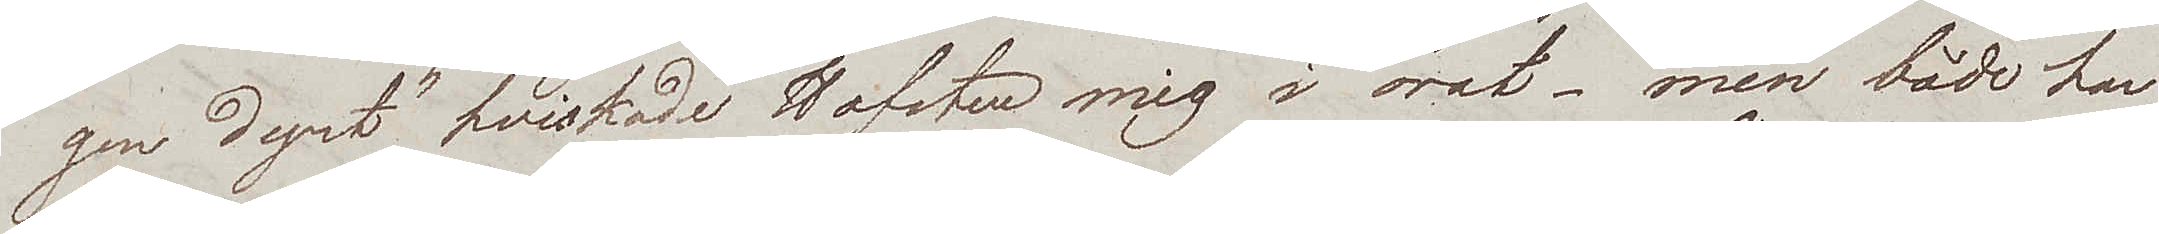gen dyrt" hviskade Hofsten mig i örat – men både han
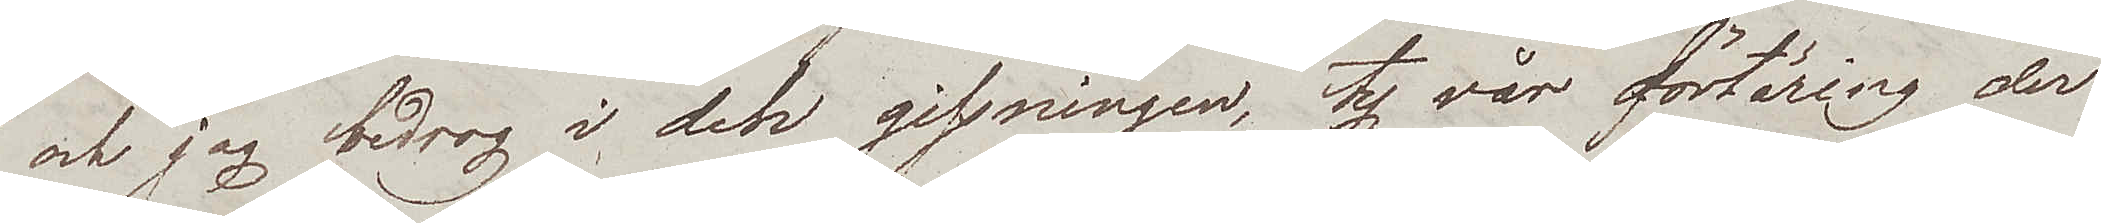och jag bedrog i den gissningen, ty vår förtäring der
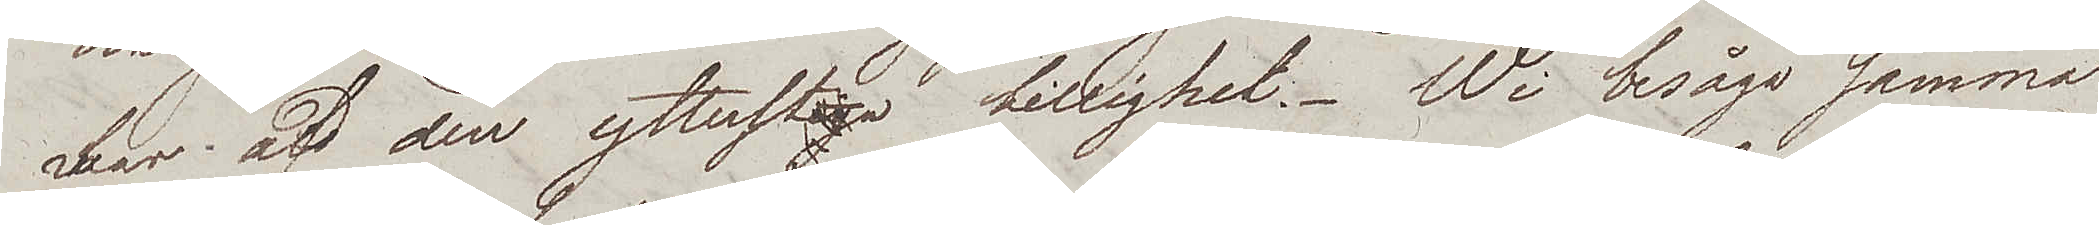hvar af den ytterta billighet. Wi besågo samma
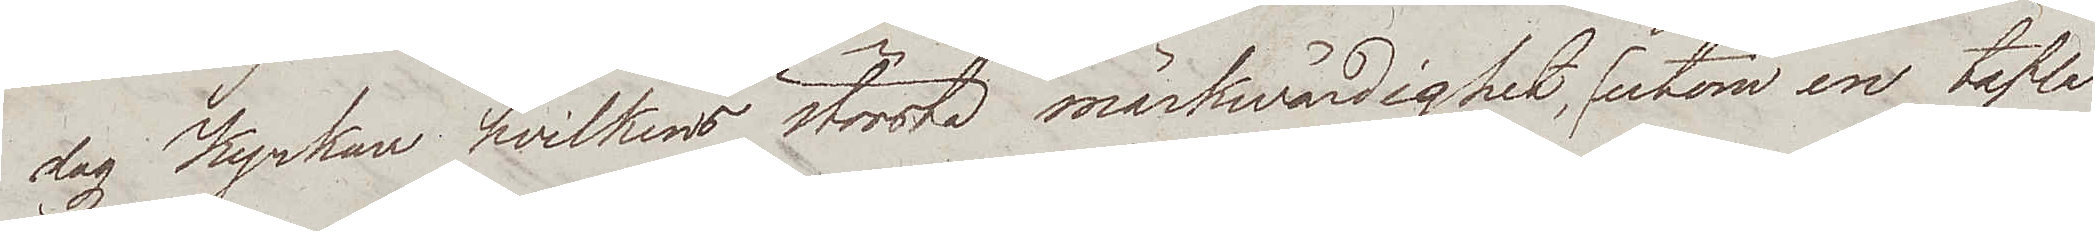dag Kyrkan hvilkens största märkwärdighet, utom en tafla
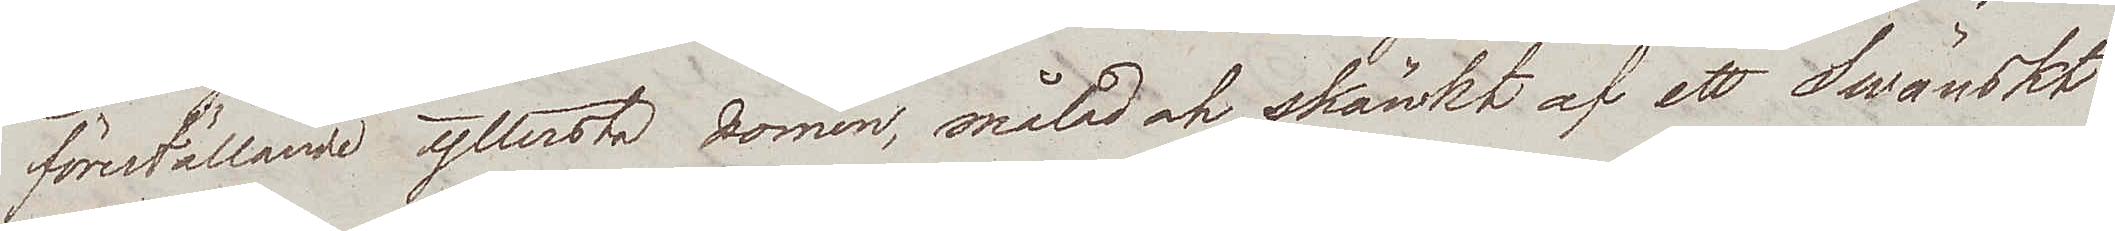föreställande yttersta domen, målad och skänkt af ett Swänskt
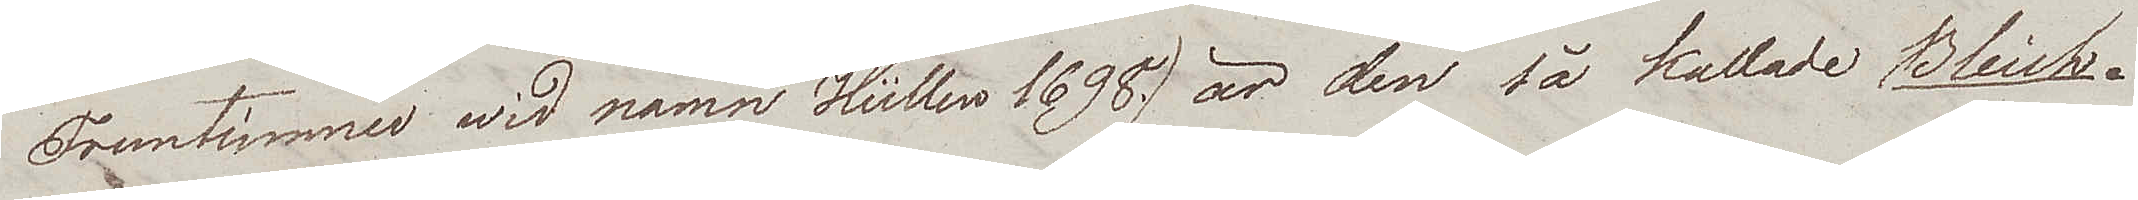Fruntimner wid namn Hüllers 1698, är den så kallade Bleich¬
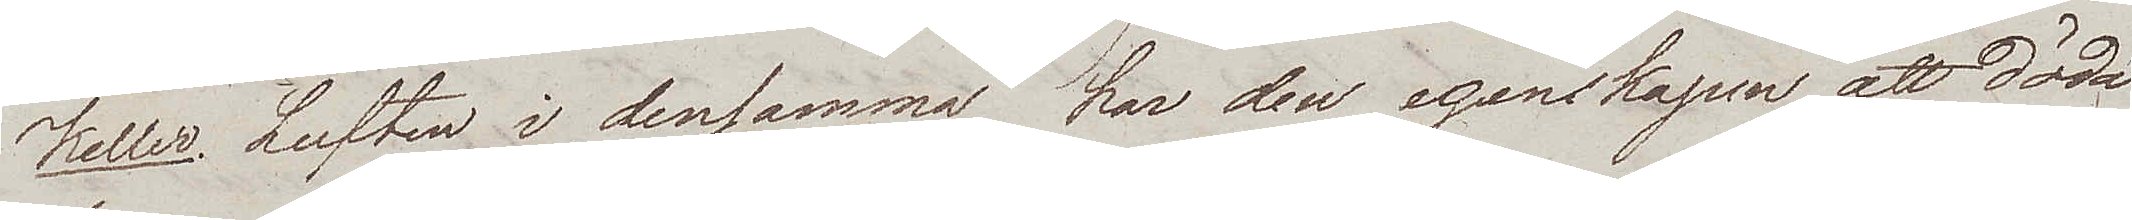Keller. Luften i densamma har den egenskapen att döda
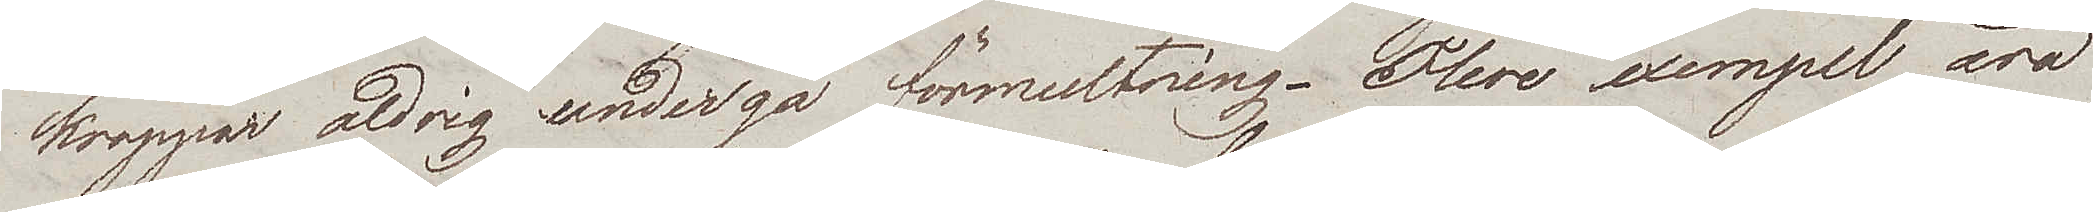kroppar aldrig undergå förmultning. Flere exempel äro
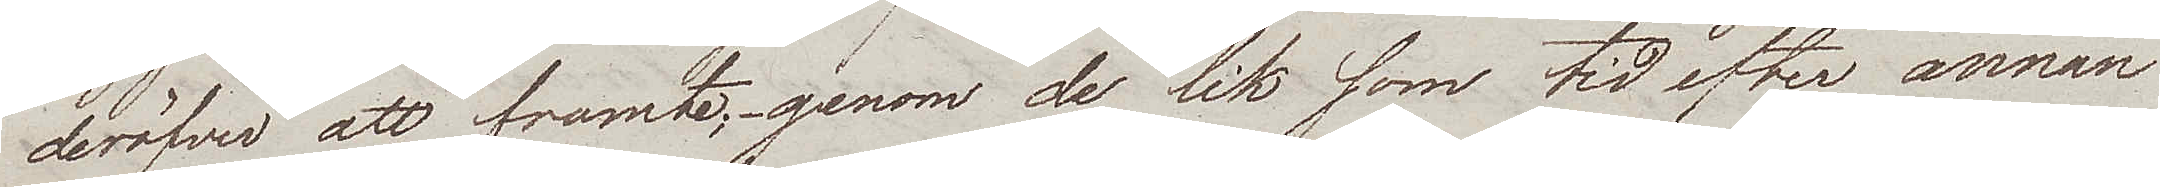deröfver att framte; genom de lik som tid efter annan
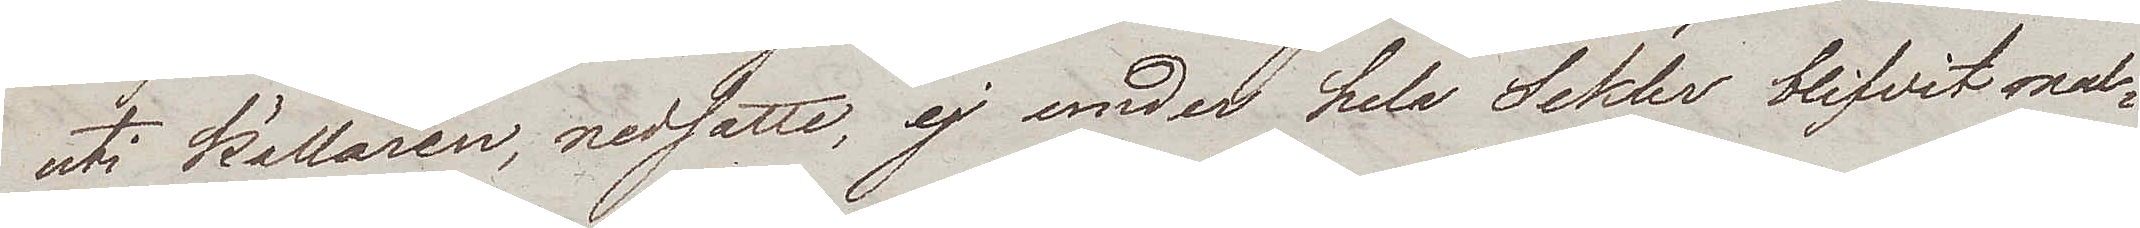uti källaren, nedsatte, ej under hela Sekler blifvit mul¬
